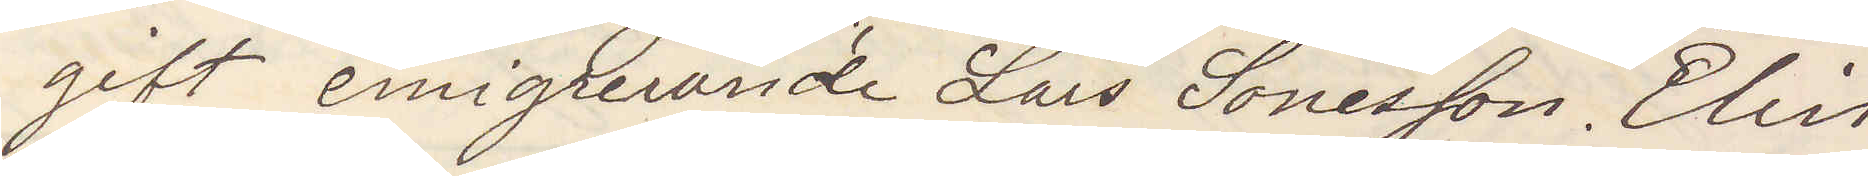gift emigrerande Lars Sonesson. Elin
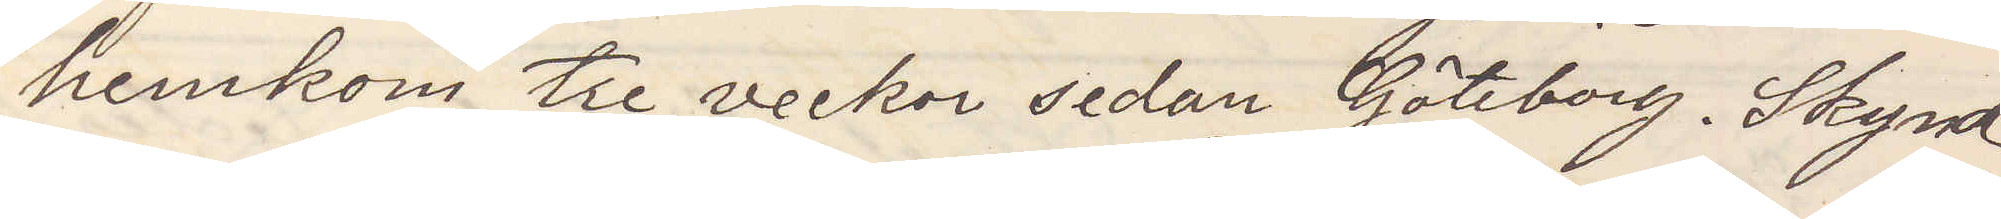hemkom tre veckor sedan Göteborg. Skynd¬
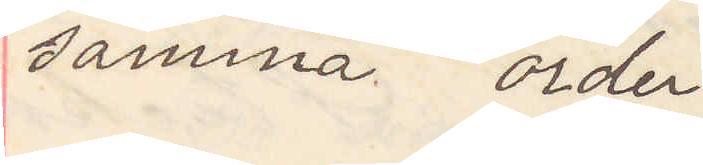samma order
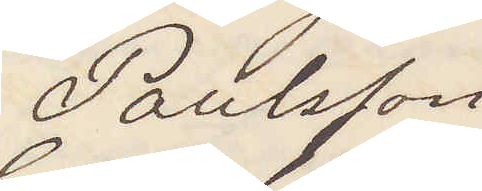Paulsson
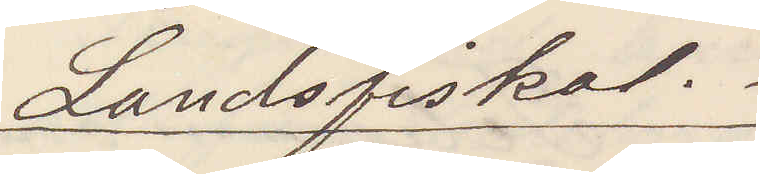Landsfiskal.
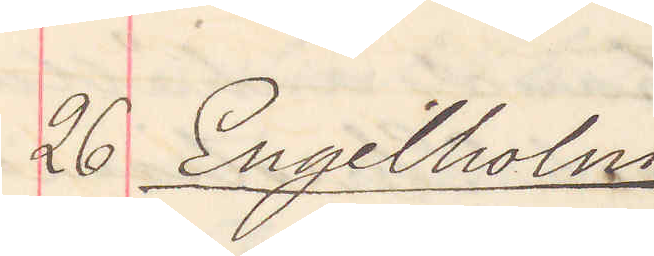26 Engelholm
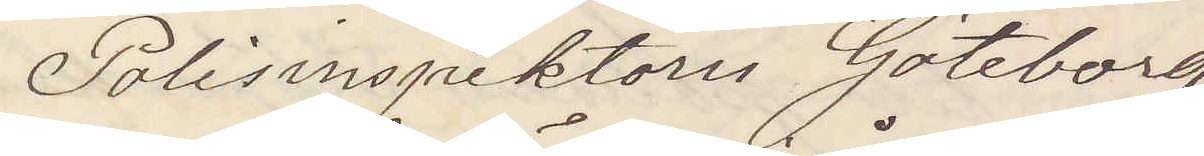Polisinspektorn Göteborg
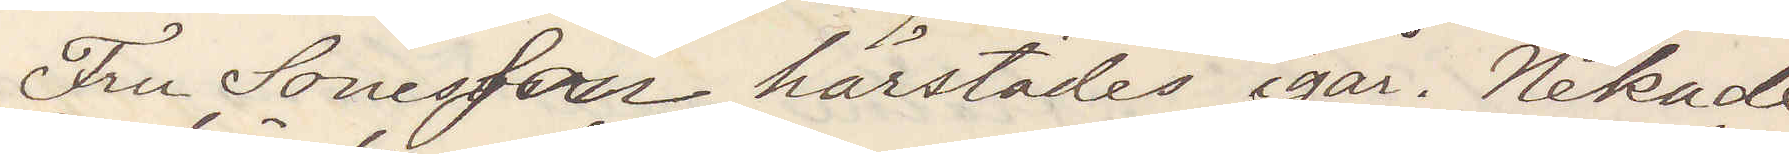Fru Sonesson härstädes igår Nekade
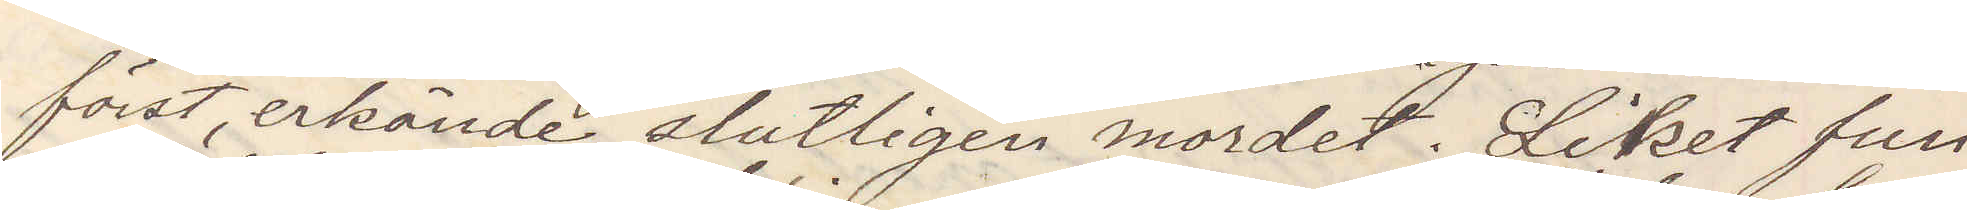först, erkände slutligen mordet. Liket fun¬
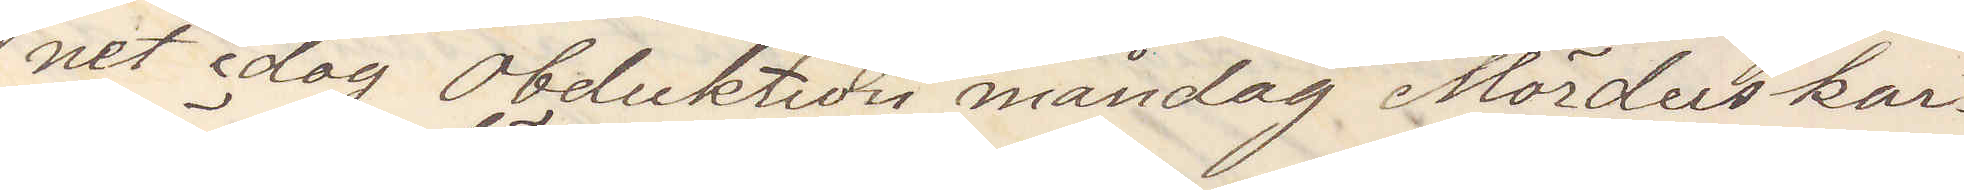net idag Obduktion måndag  Mörderskan 
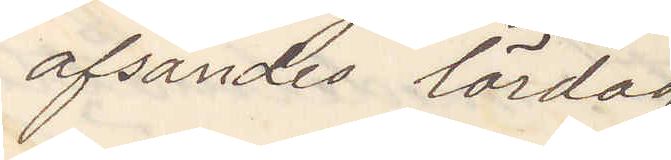afsändes lördag.
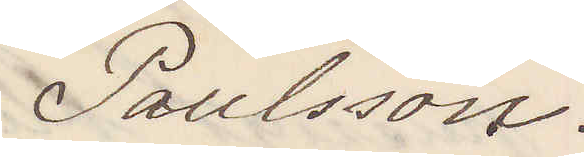Paulsson.
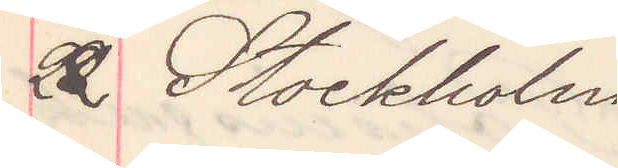22 Stockholm
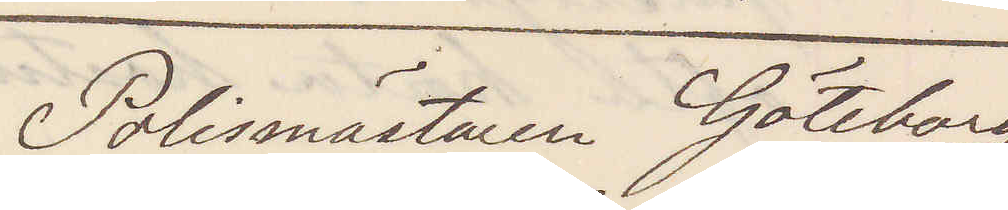Polismästaren Göteborg
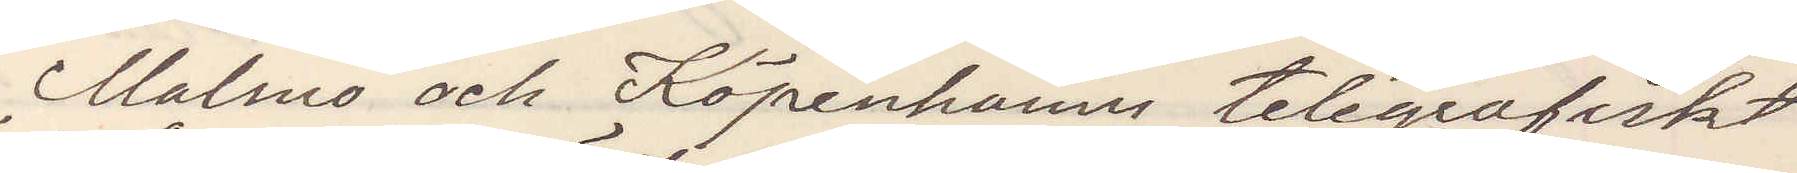Malmö och Köpenhamn telegrafiskt
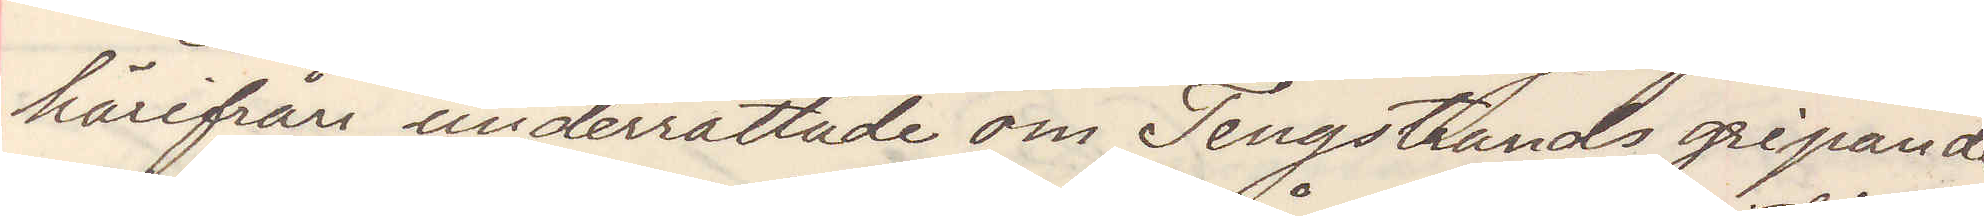härifrån underrättade om Tengstrands gripande
